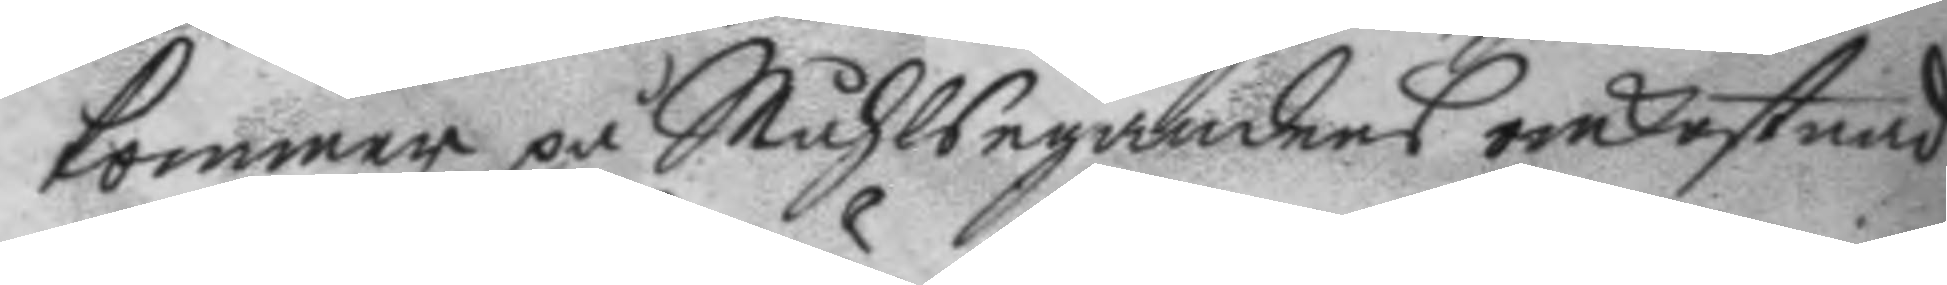kommer på Måhlsegandens omkostnad
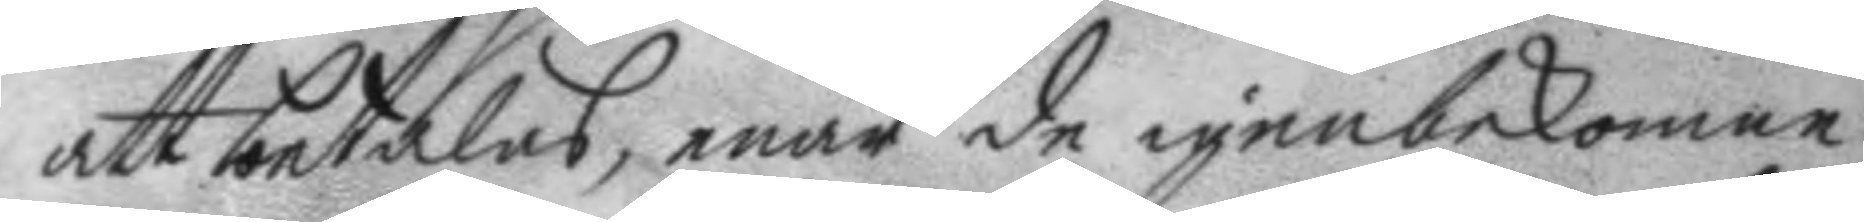att betalas, enär de igenbekomne
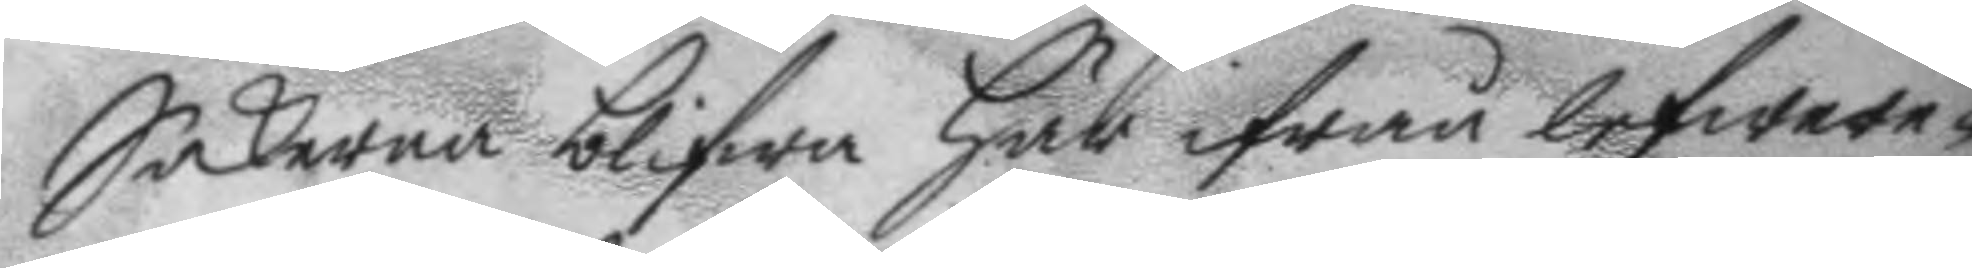Sakerna blifwa här ifrån lefwere¬
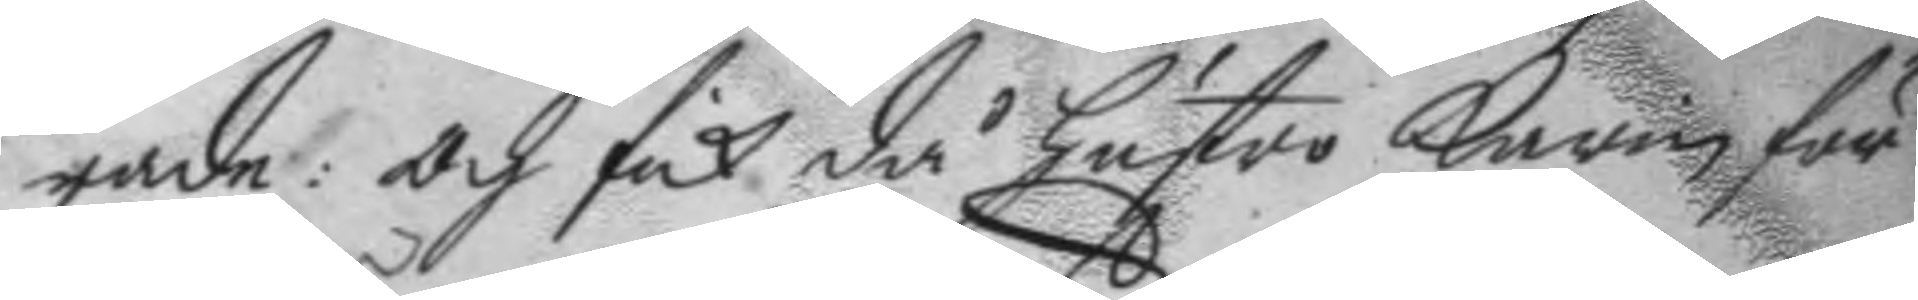rade: och fick då hustro karin för
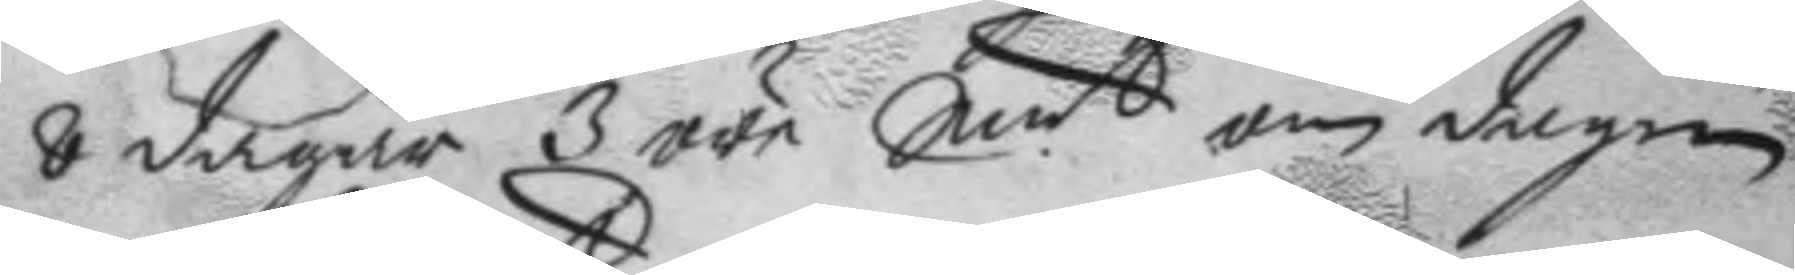8 dagar 3 öre Smt om dagen
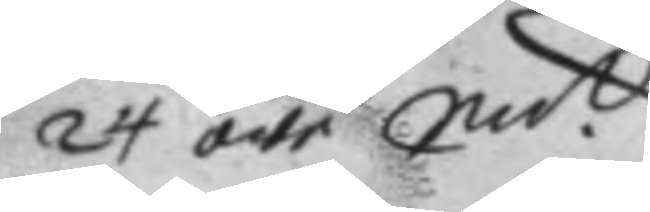24 öre Smt.
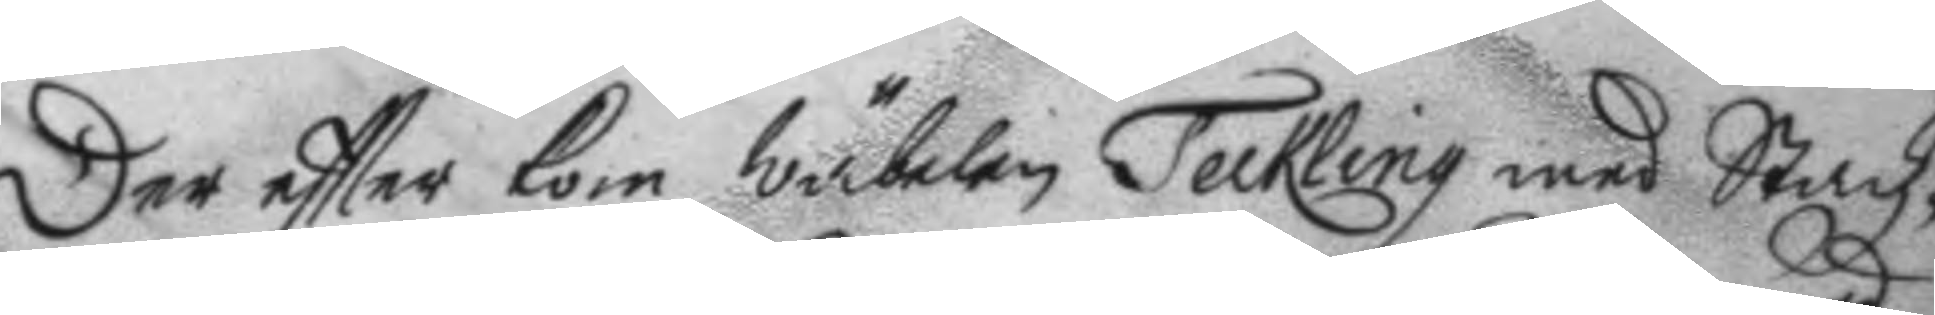Der eftter kom wäbelen Teckling med Stadz¬
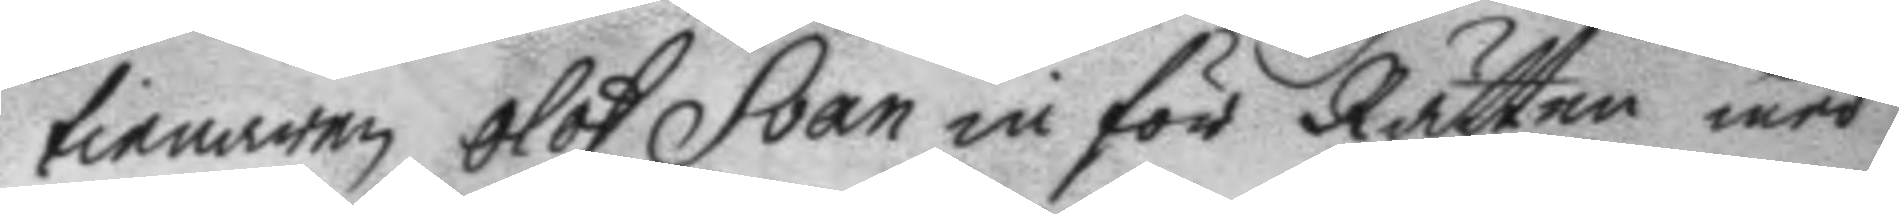tienaren Olof Svan in för Rätten med
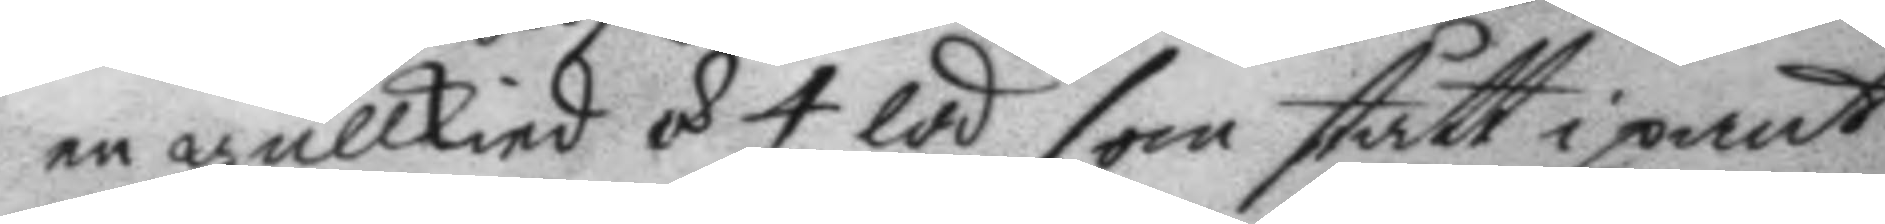en gullskied á 4 lod som stått i pant
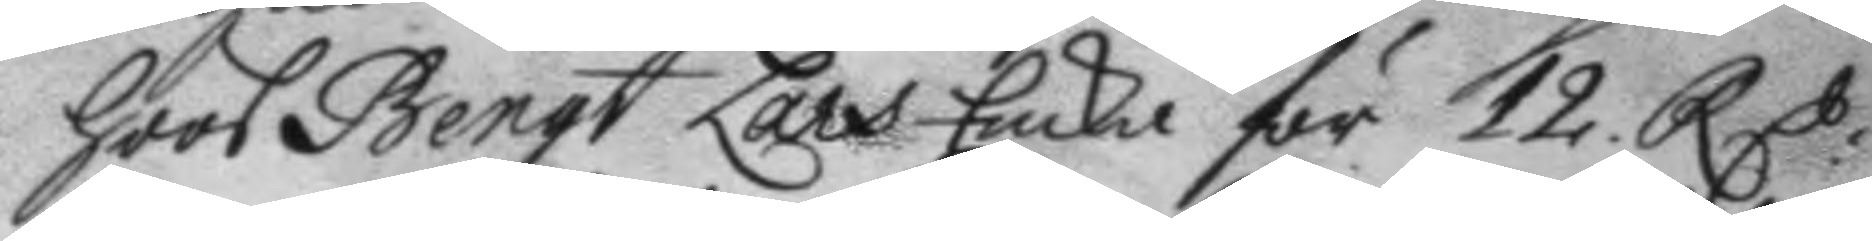hoos Bengt Lars Encka för 12 RC:
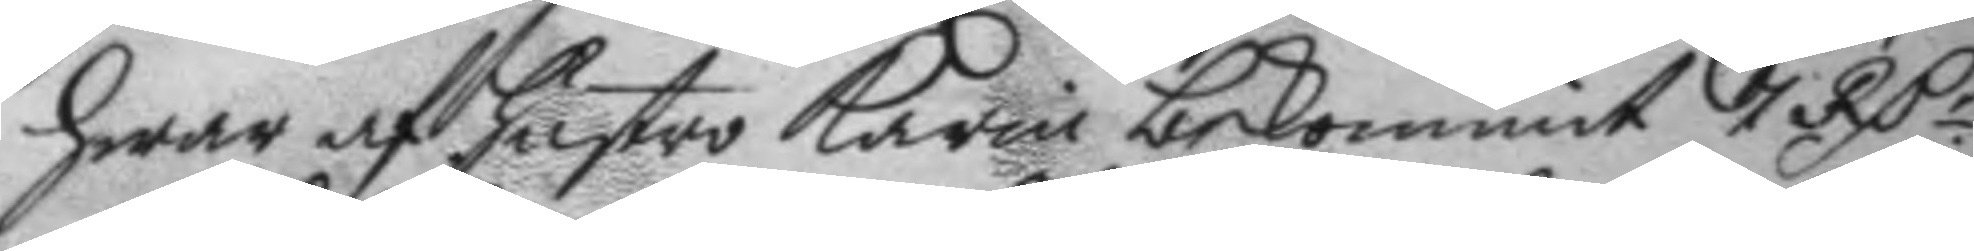hwar af hustri Karin bekommit 7 RC.r
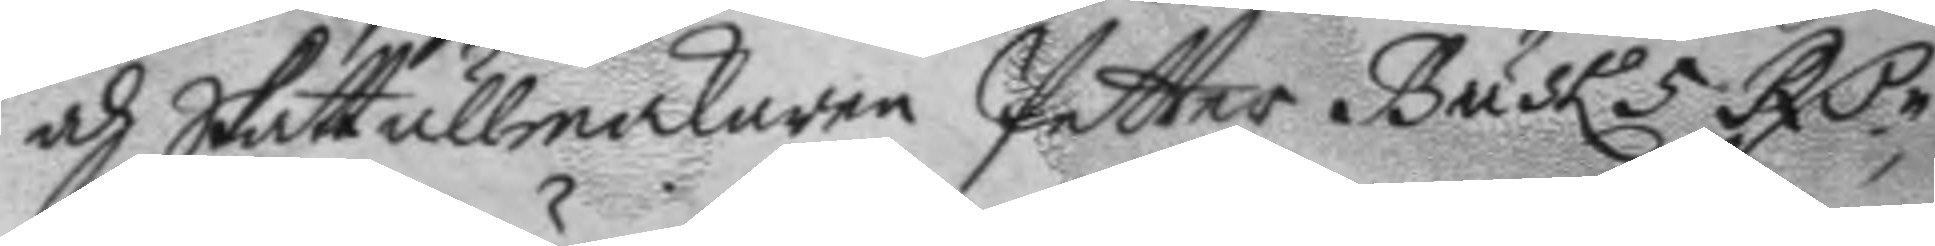och Sakttullmakaren Petter Busk 5 RC.r
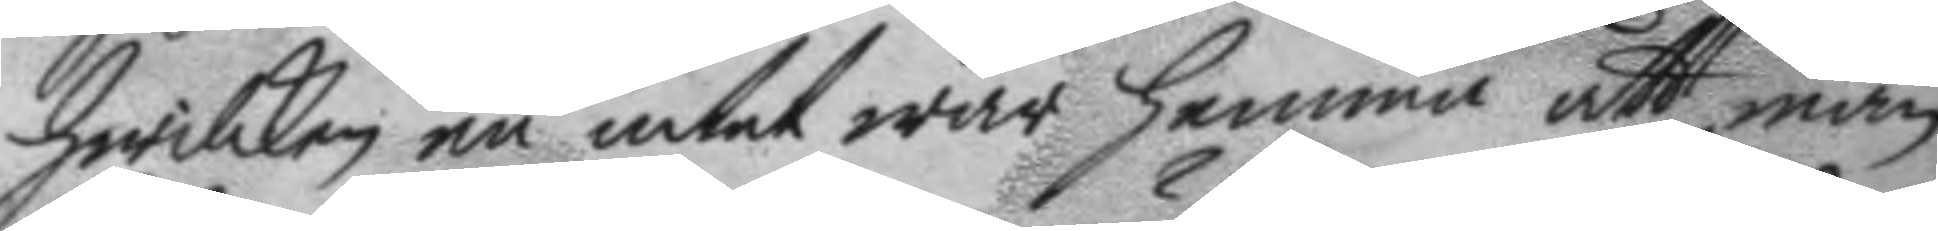hwilket nu intet war hemma att man
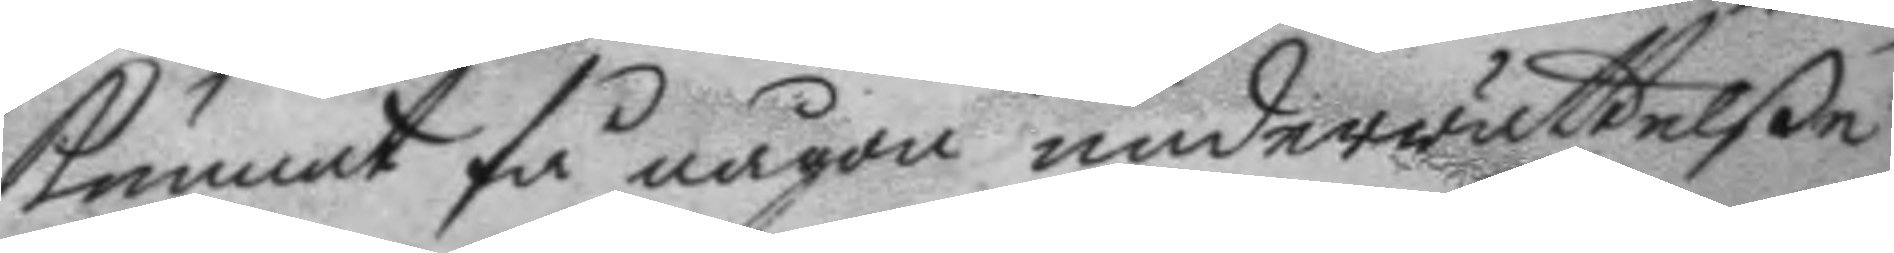kunnat få någon underrättelße
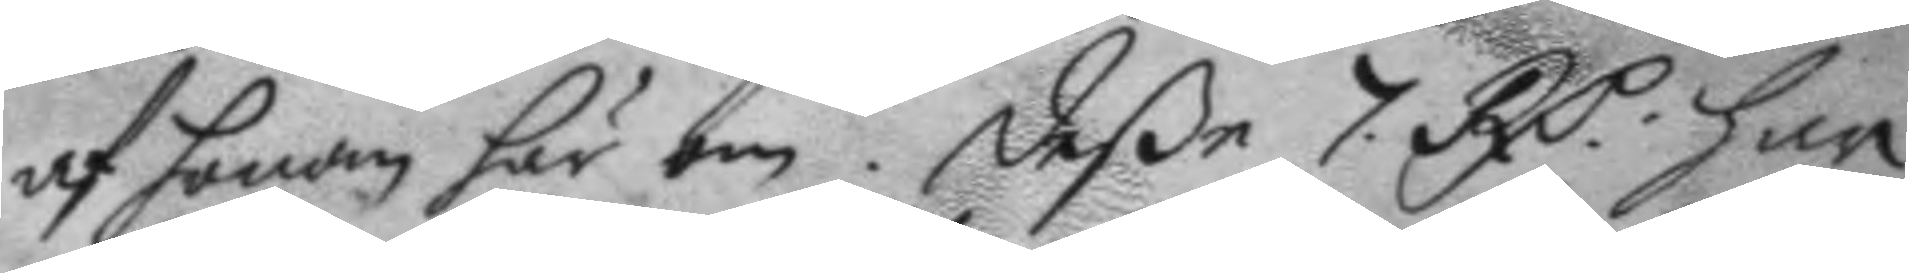af honom här om. Deße 7 RC: har
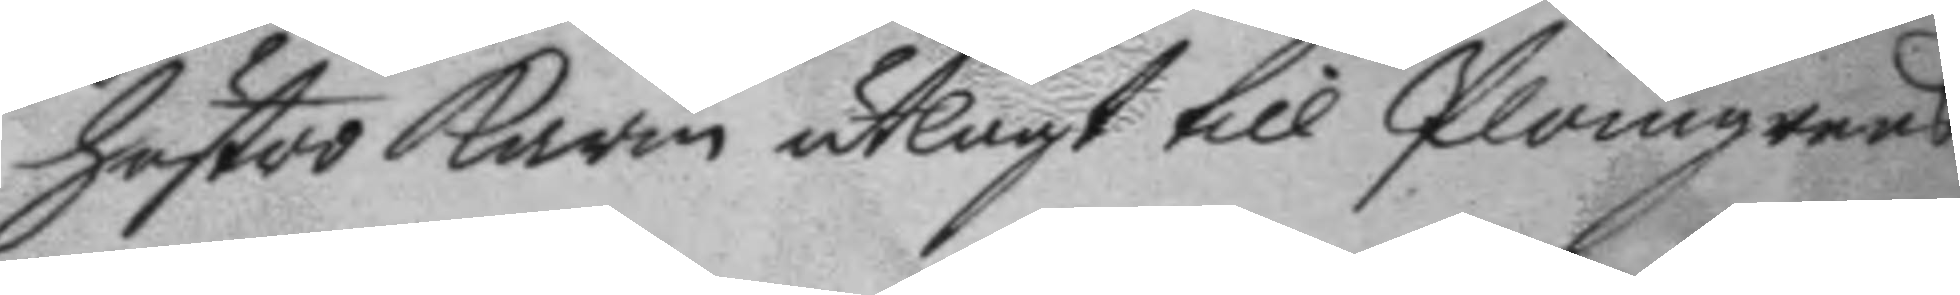hustro karin utlagt till Plomgren
